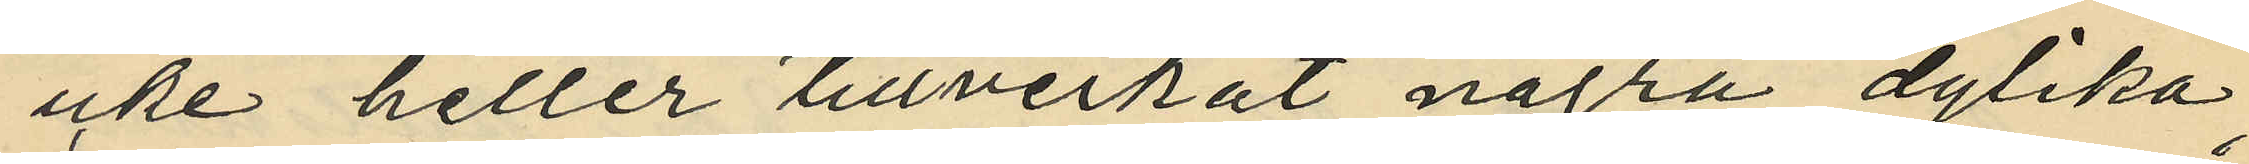icke heller tillverkat några dylika,
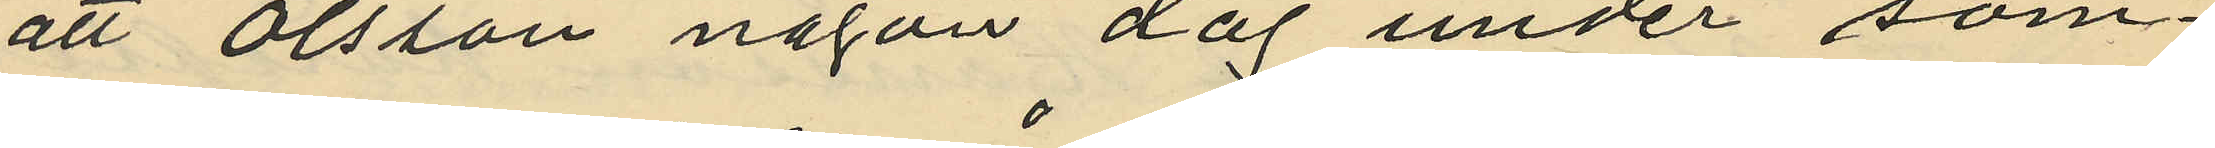att Olsson någon dag under som¬
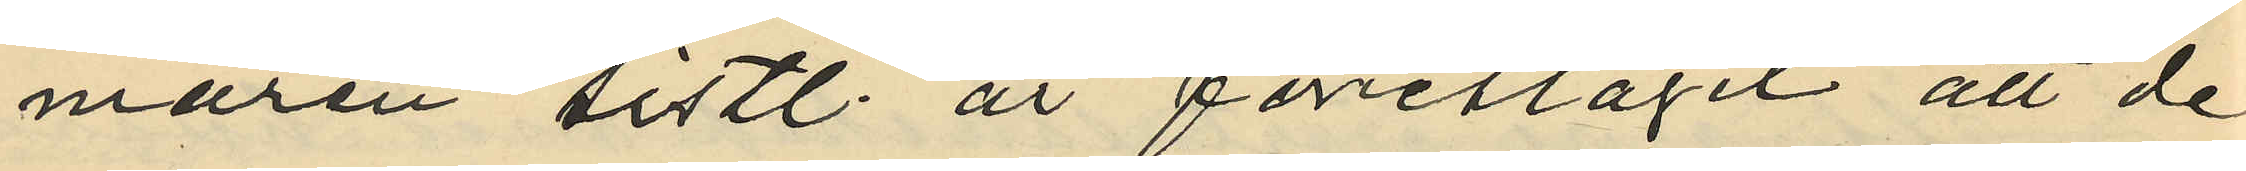maren sistl. år föreslagit att de
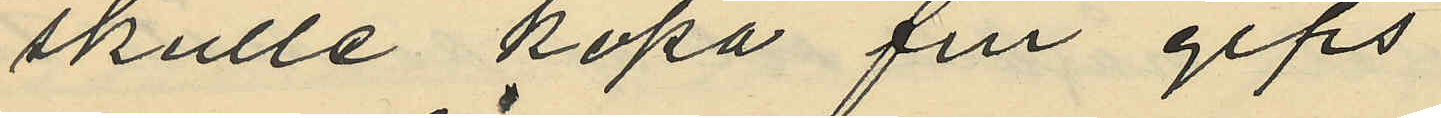skulle köpa fin gips
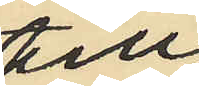till
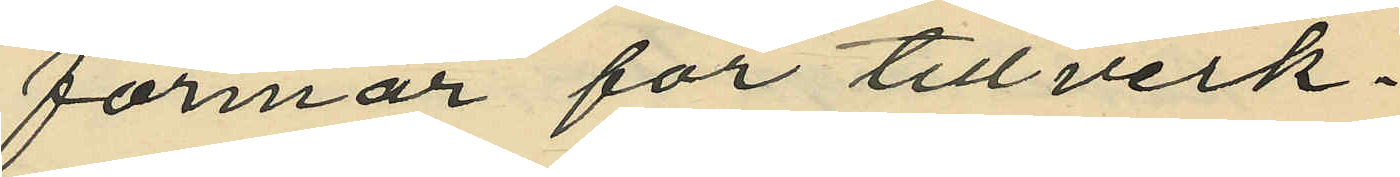formar för tillverk¬
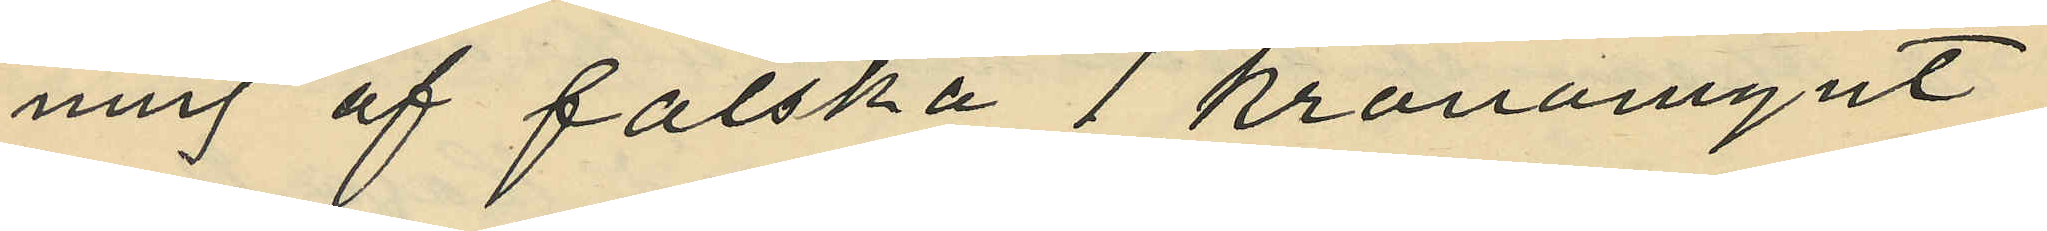ning af falska 1 kronomynt,
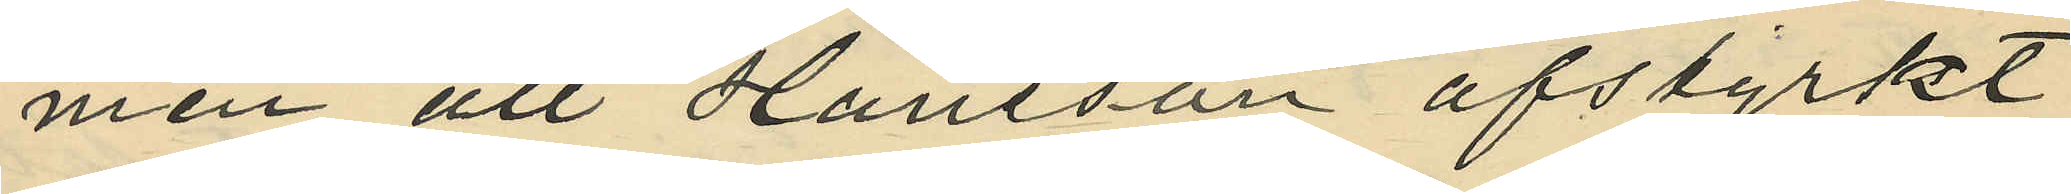men att Hansson afstyrkt
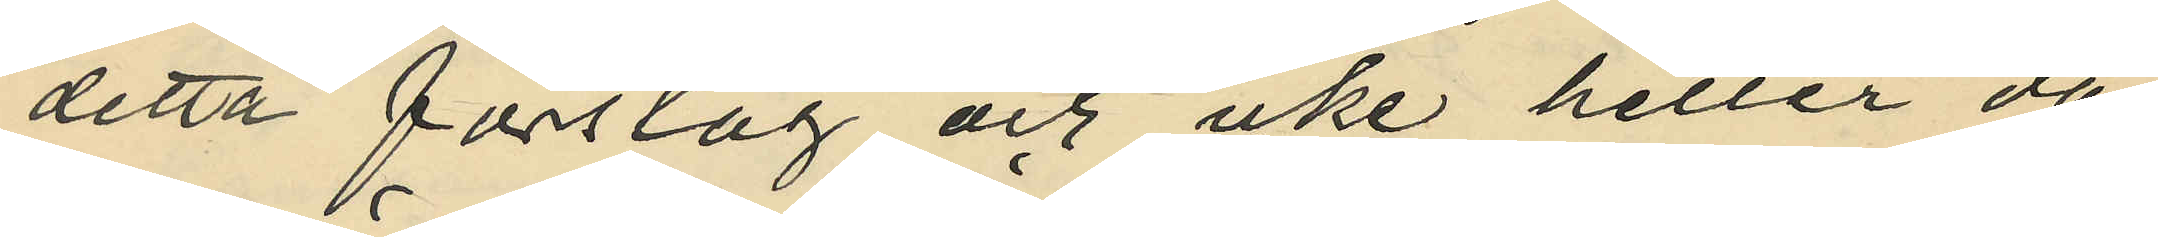detta förslag och icke heller då
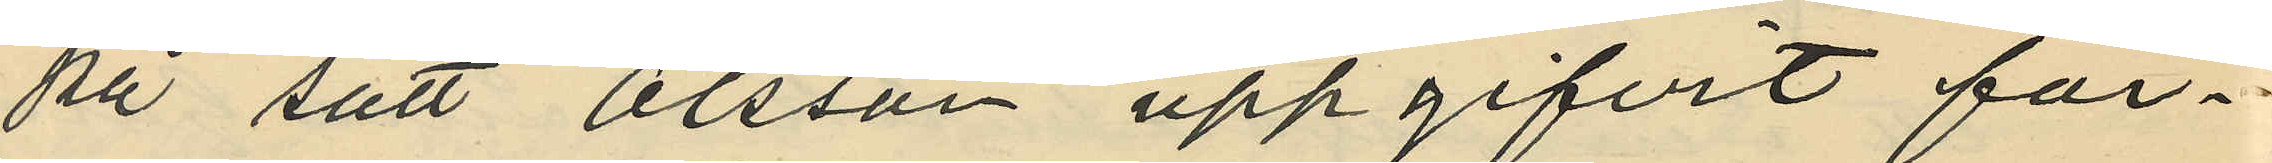på sätt Olsson uppgifvit för¬
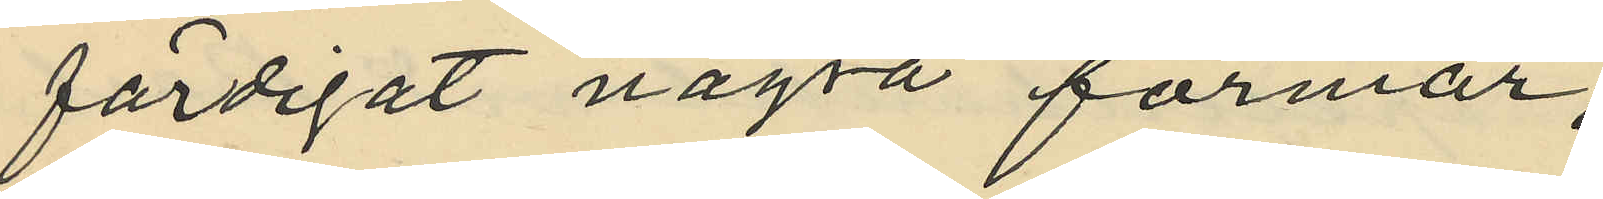färdigat några formar;
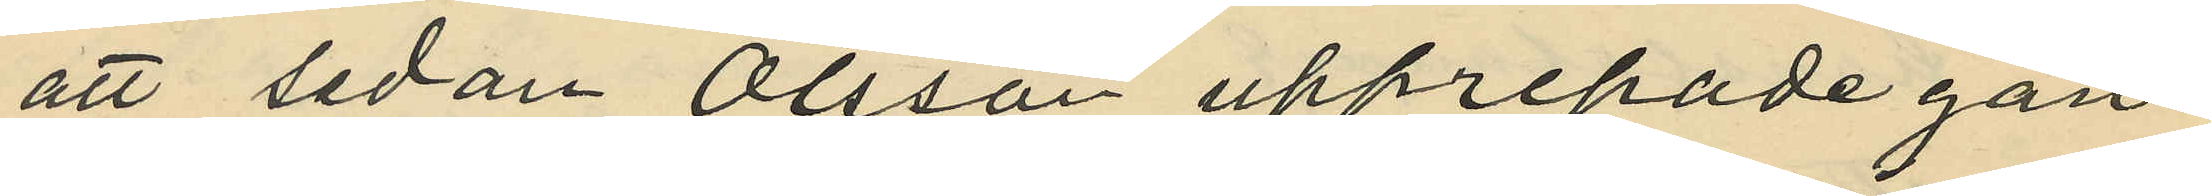att sedan Olsson upprepade gån¬
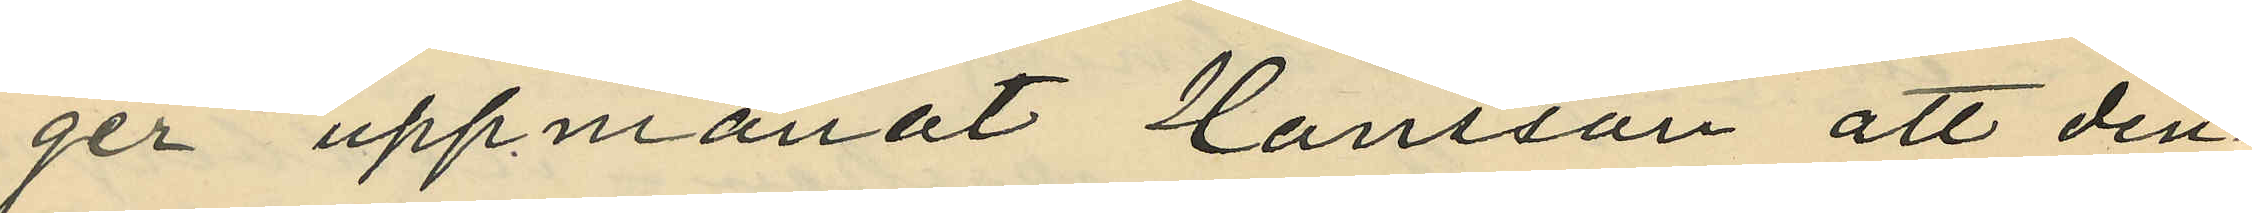ger uppmanat Hansson att den¬
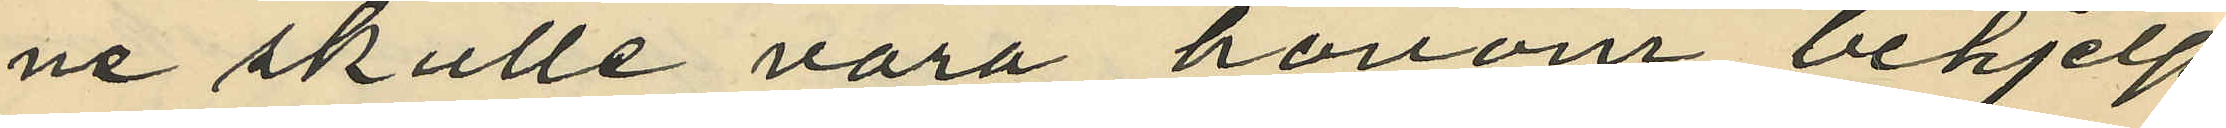ne skulle vara honom behjelp¬
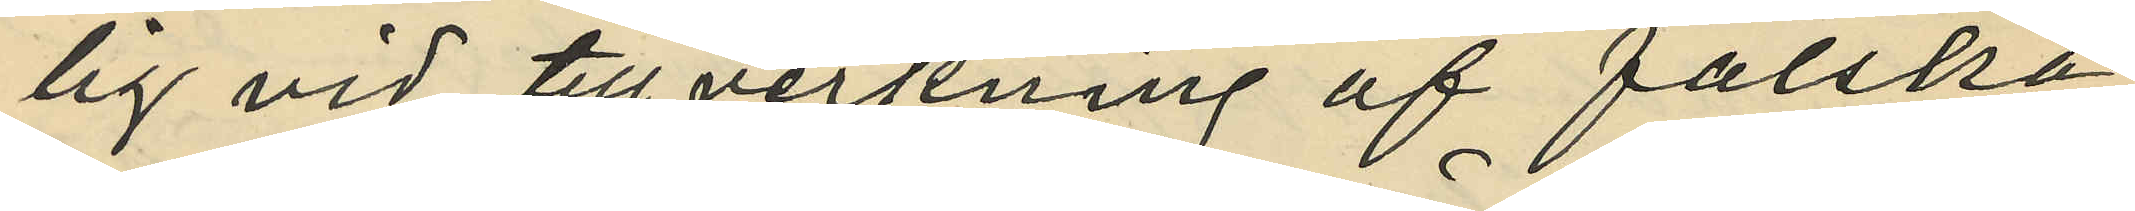lig vid tillverkning af falska
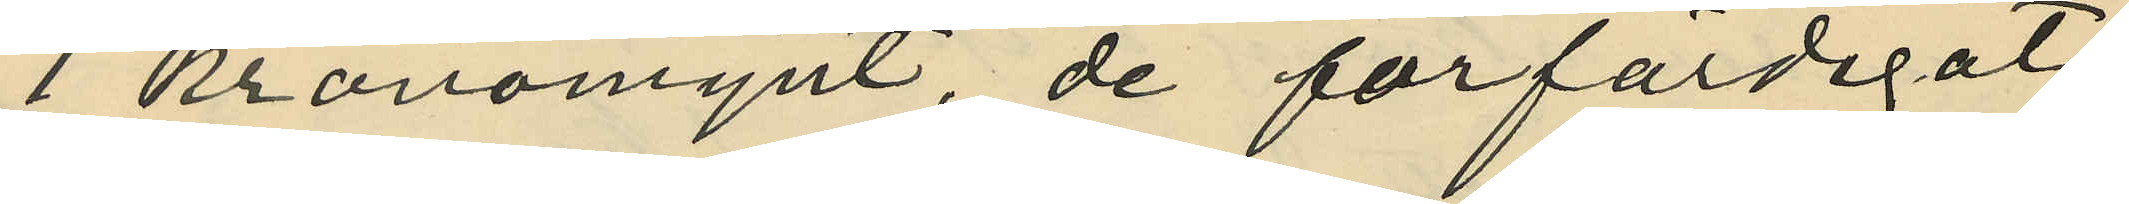1 kronomynt, de förfärdigat
